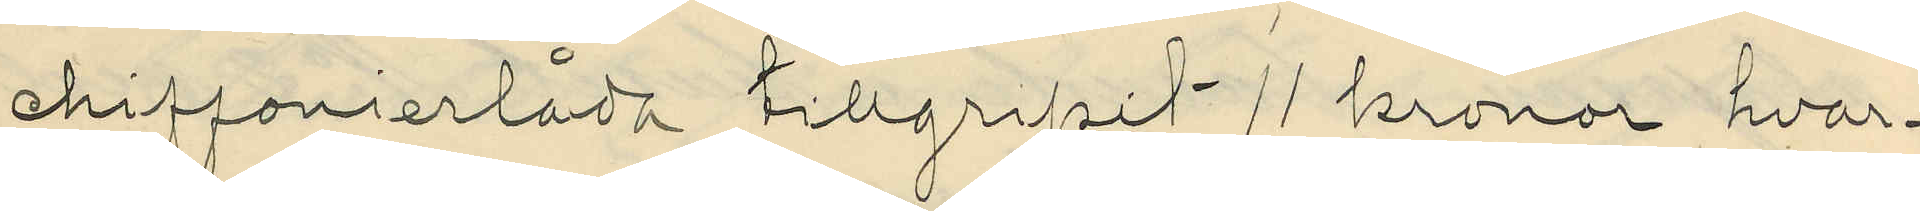chiffonierlåda tillgripit 11 kronor, hvar¬
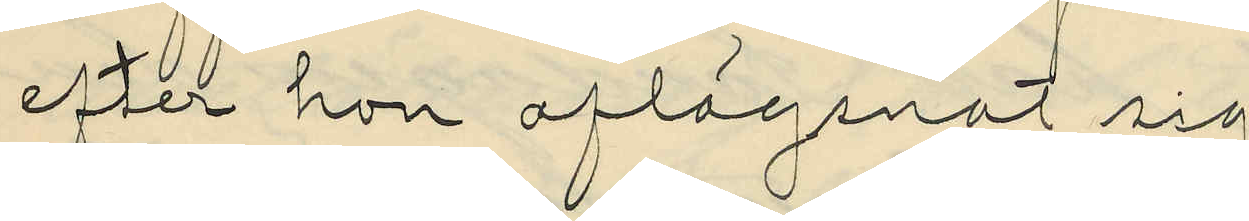efter hon aflägsnat sig;
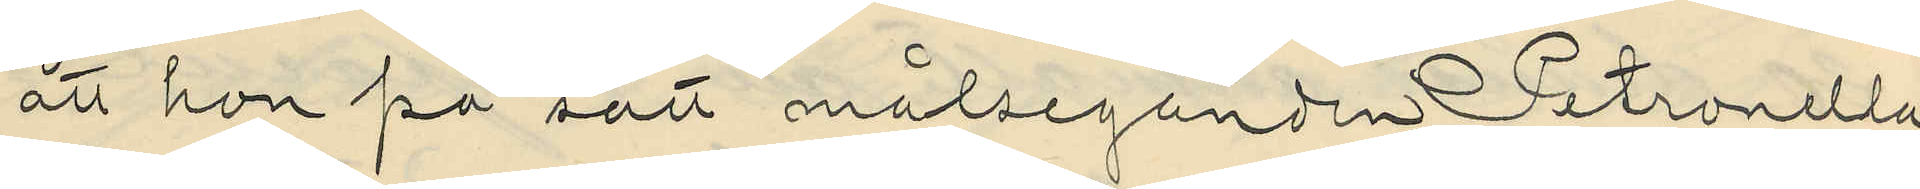att hon på sätt målseganden Petronella
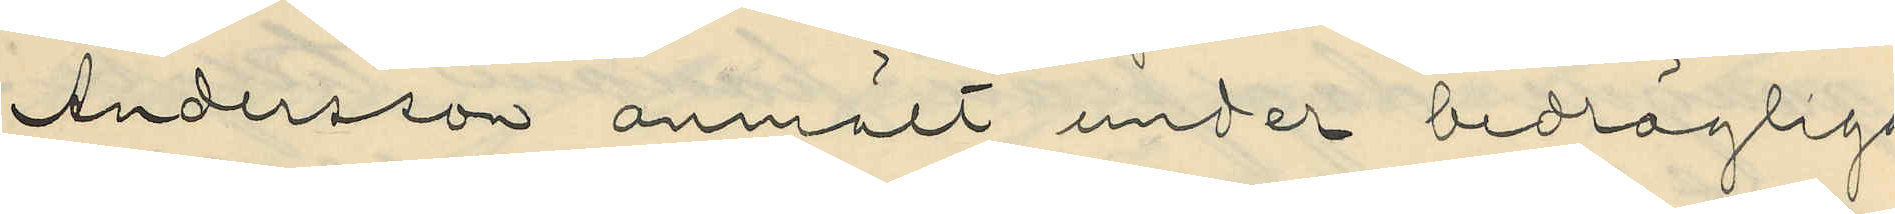Andersson anmält under bedrägliga
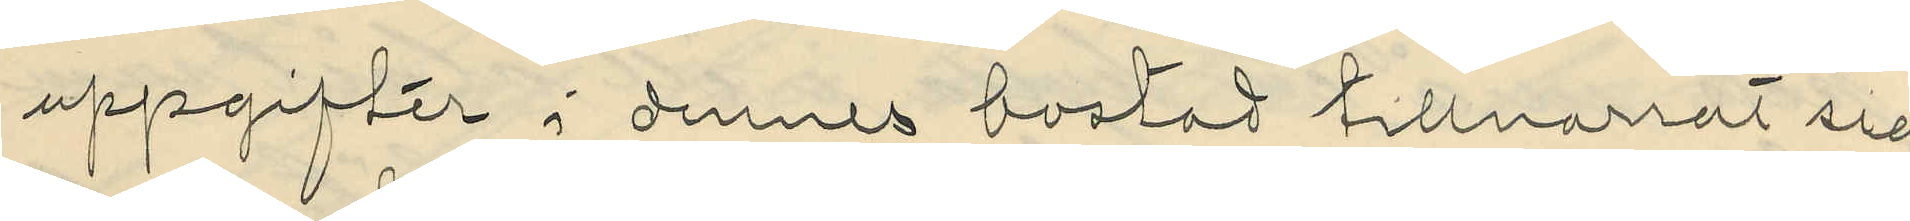uppgifter i dennes bostad tillnarrat sig
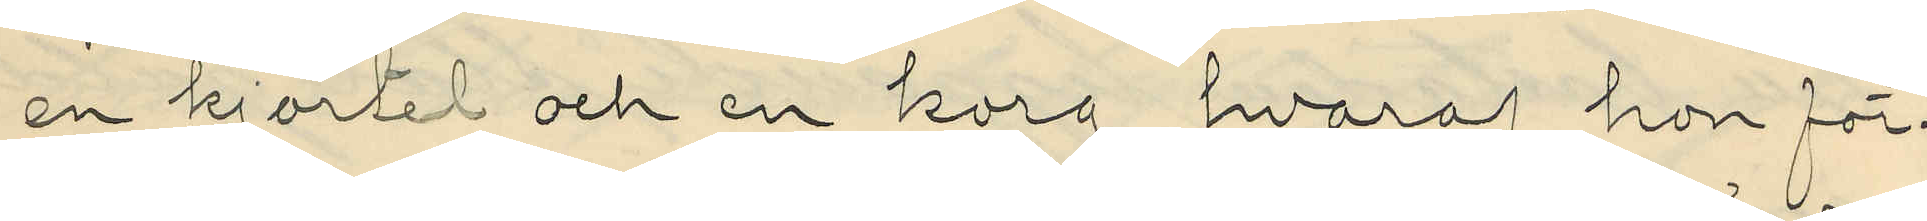en kjortel och en korg, hvaraf hon för¬
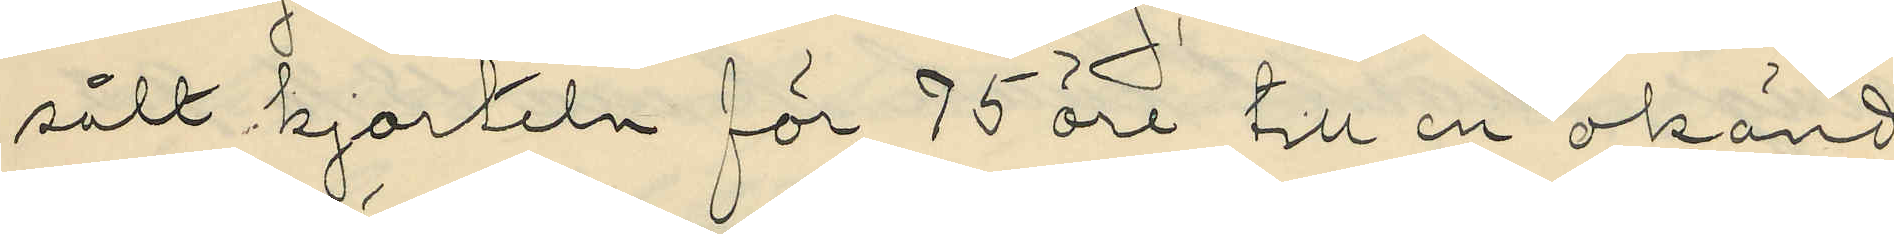sålt kjorteln för 75 öre till en okänd
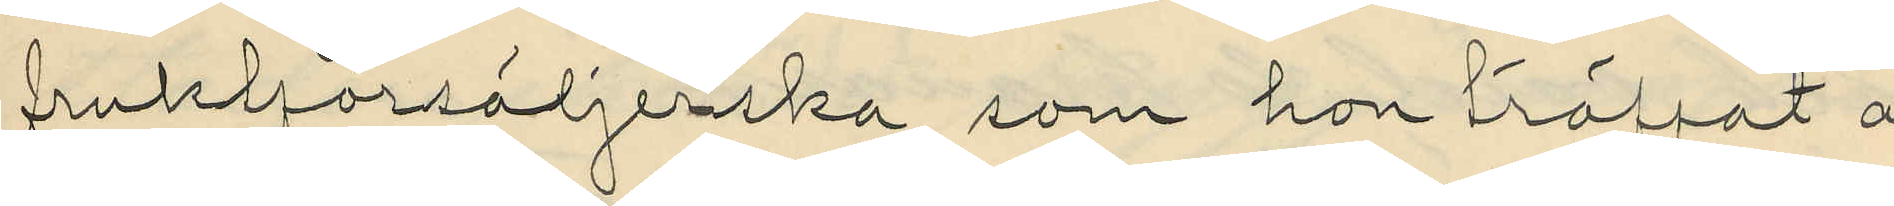fruktförsäljerska som hon träffat å
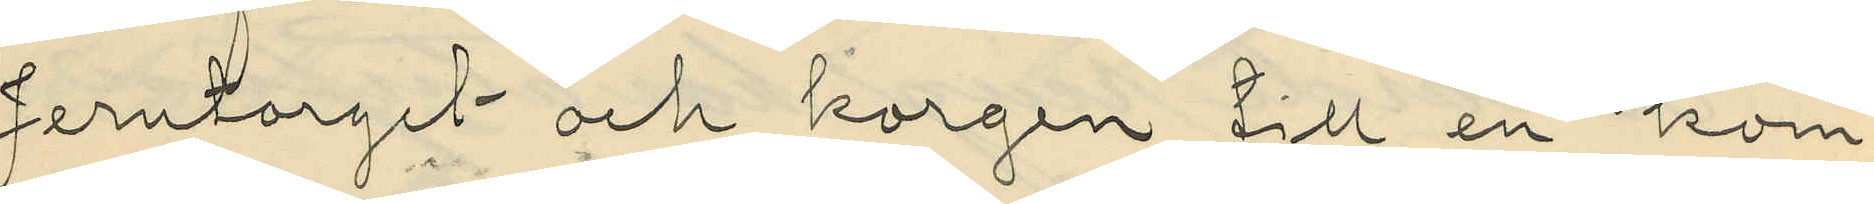Jerntorget och korgen till en kom¬
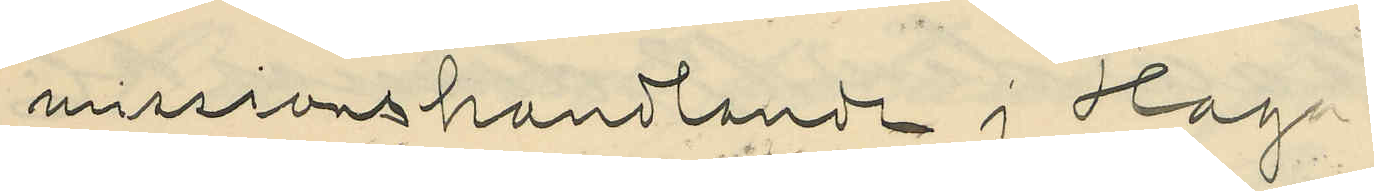missionshandlande i Haga;
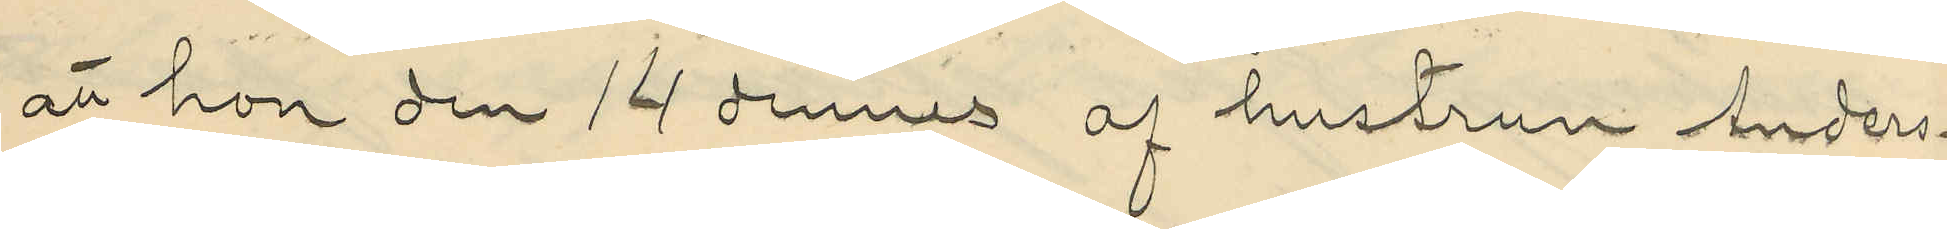att hon den 14 dennes af hustrun Anders¬
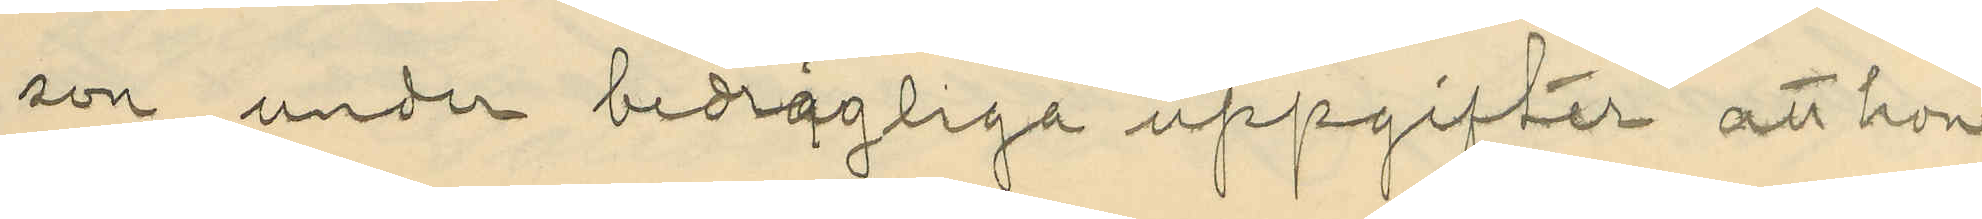son under bedrägliga uppgifter att hon
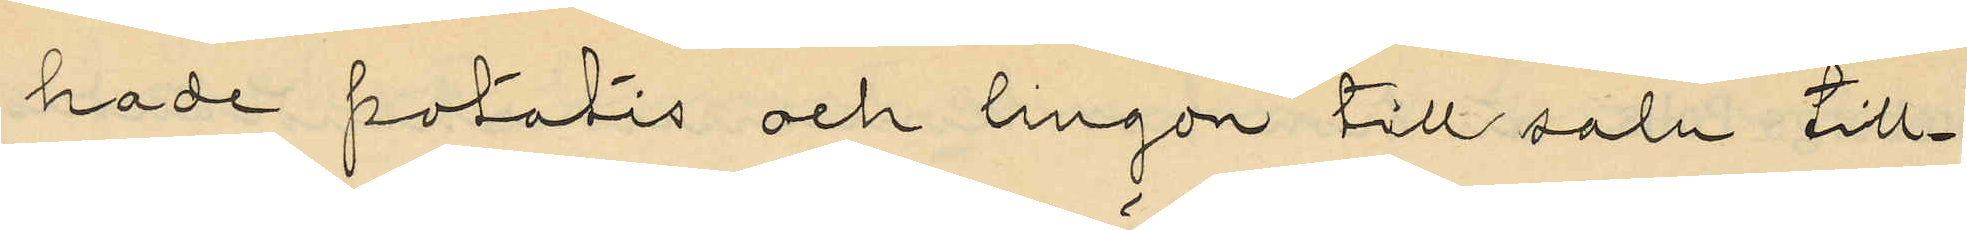hade potatis och lingon till salu till¬
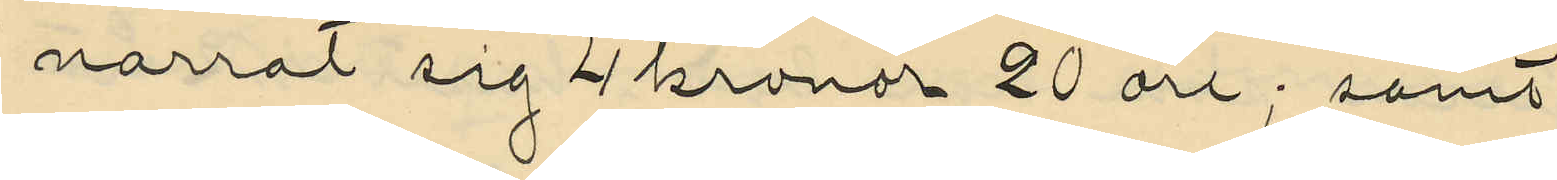narrat sig 4 kronor 20 öre; samt
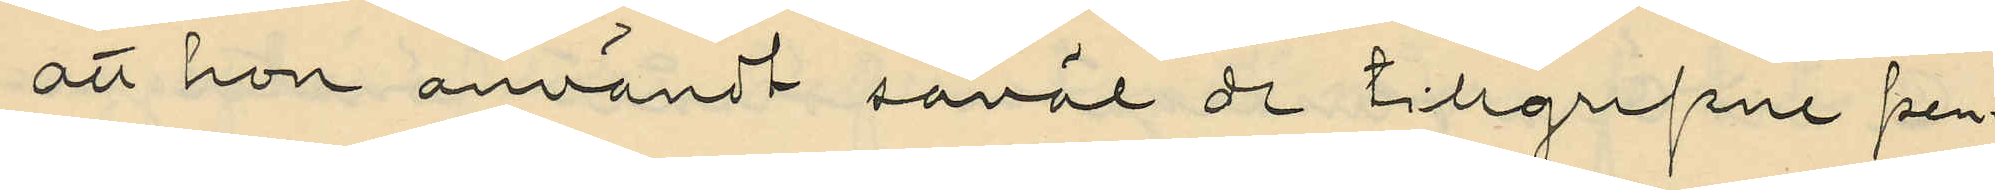att hon användt såväl de tillgripne pen¬
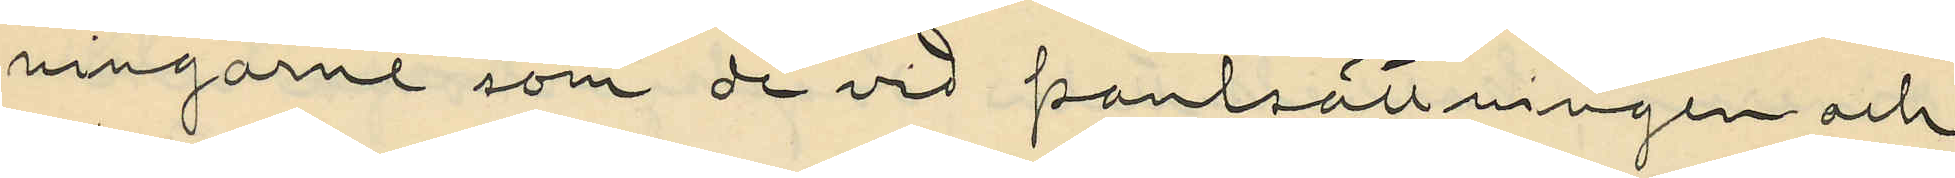ningarne som de vid pantsättningen och
